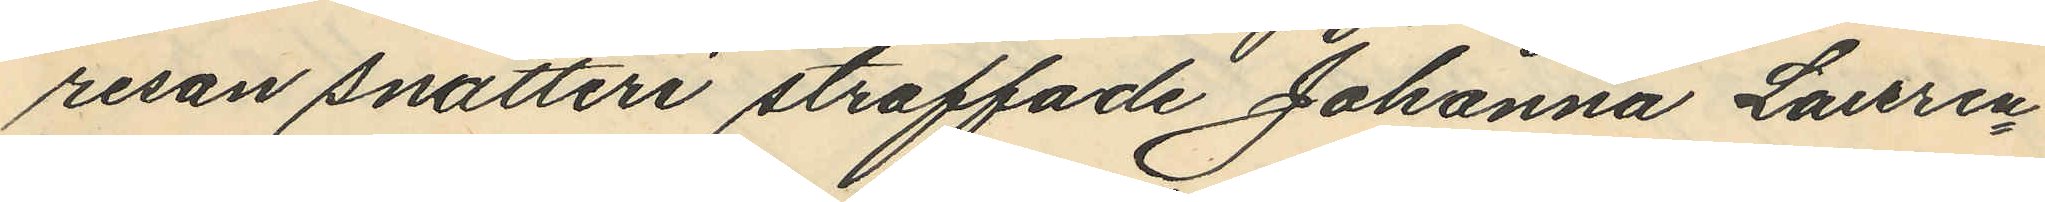resan snatteri straffade Johanna Laruen¬
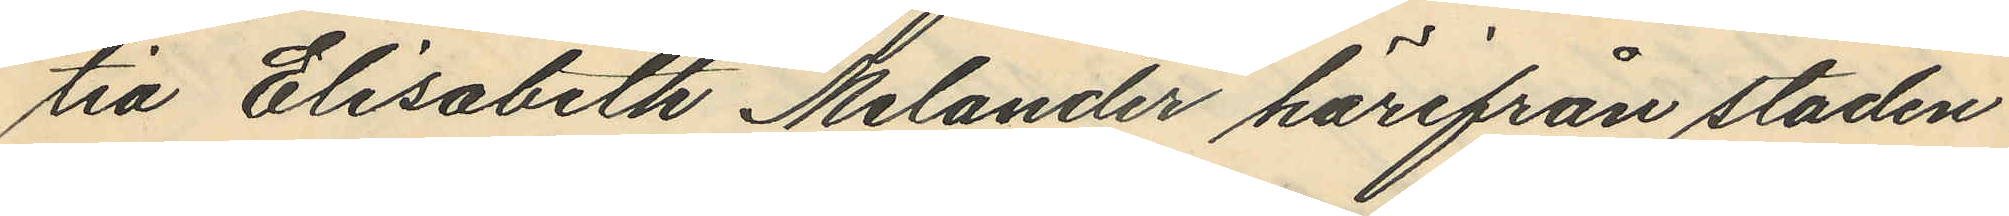tia Elisabeth Melander härifrån staden
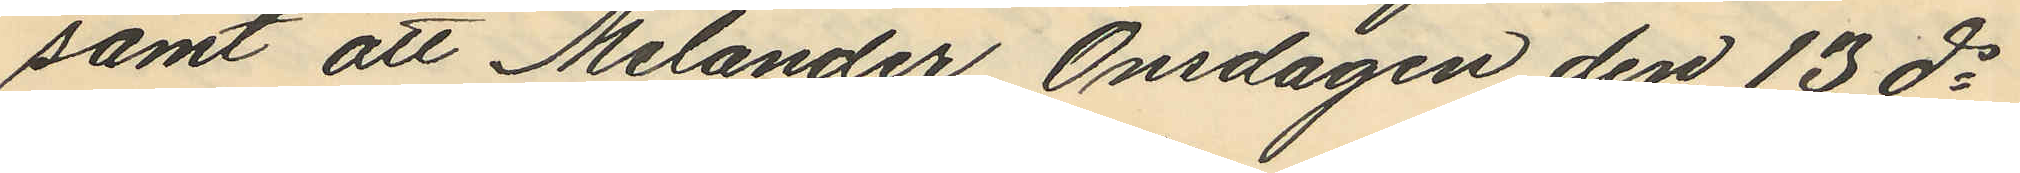samt att Melander Onsdagen den 13 ds
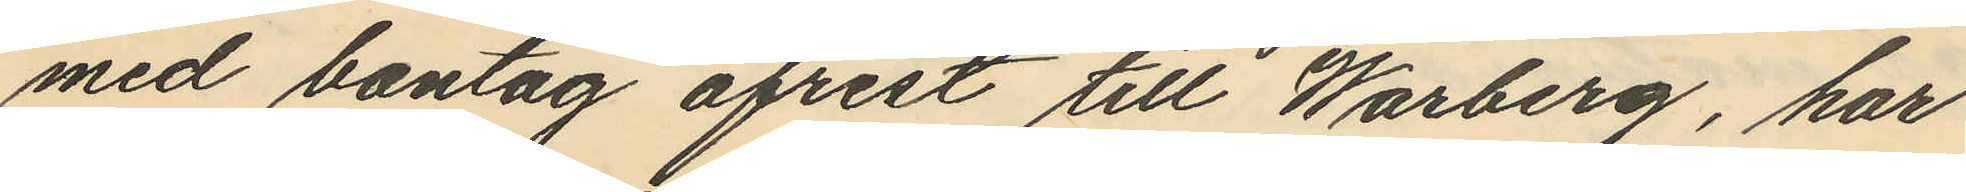med bantåg afrest till Warberg, har
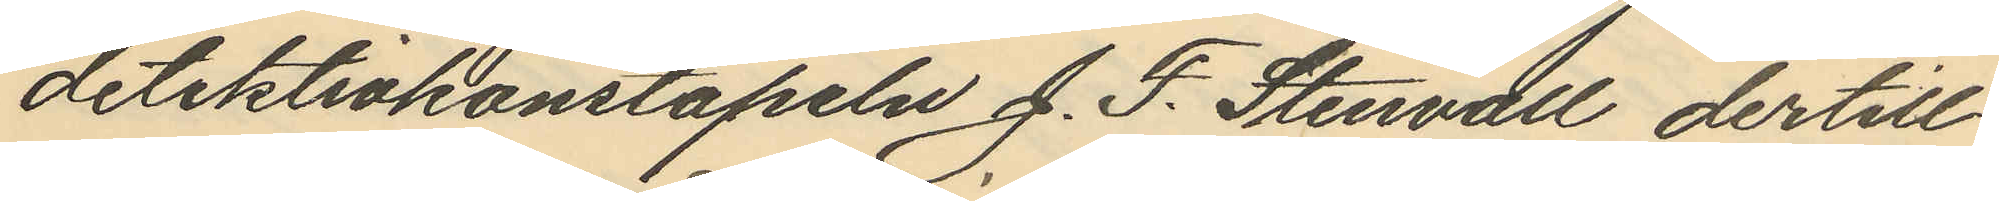detektivkonstapeln J. F. Stenvall dertill
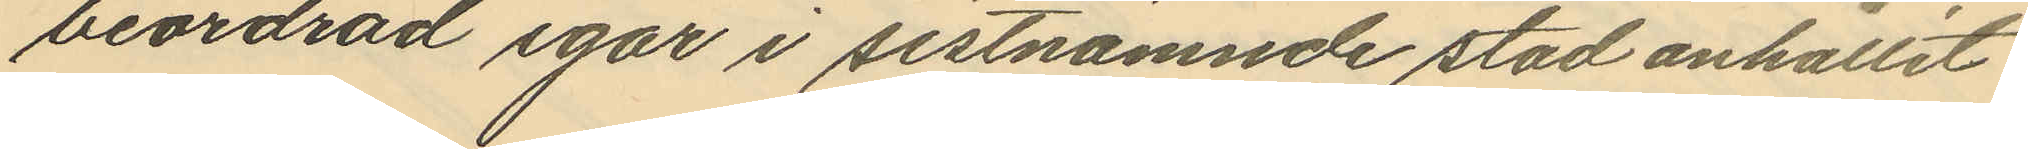beordrad igår i sistnämnde stad anhållit
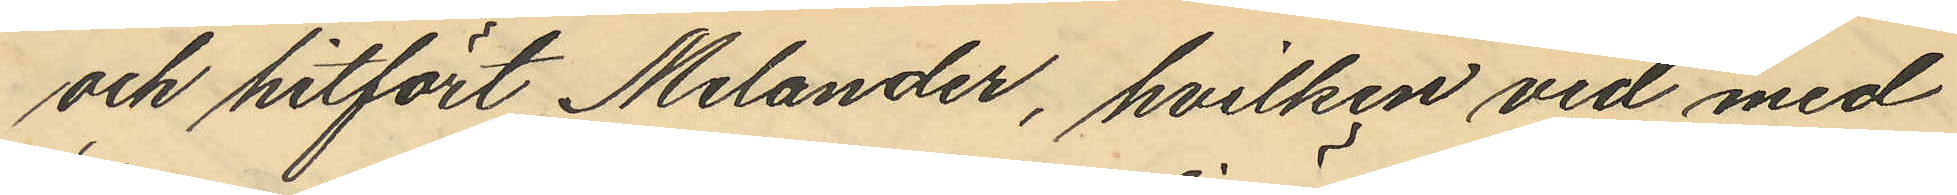och hitfört Melander, hvilken vid med
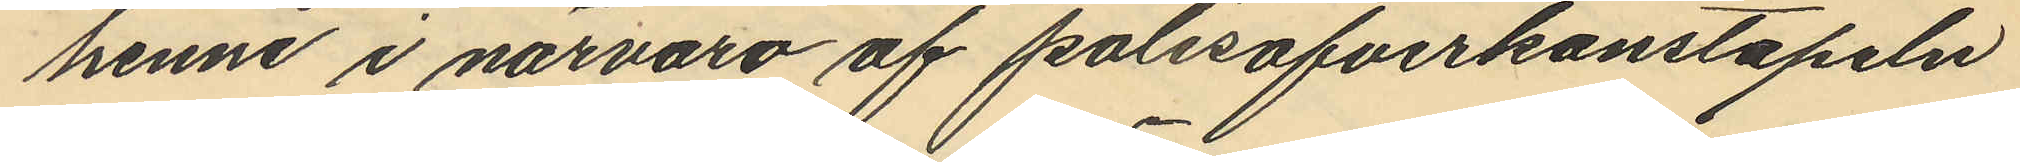henne i närvaro af polisöfverkonstapeln
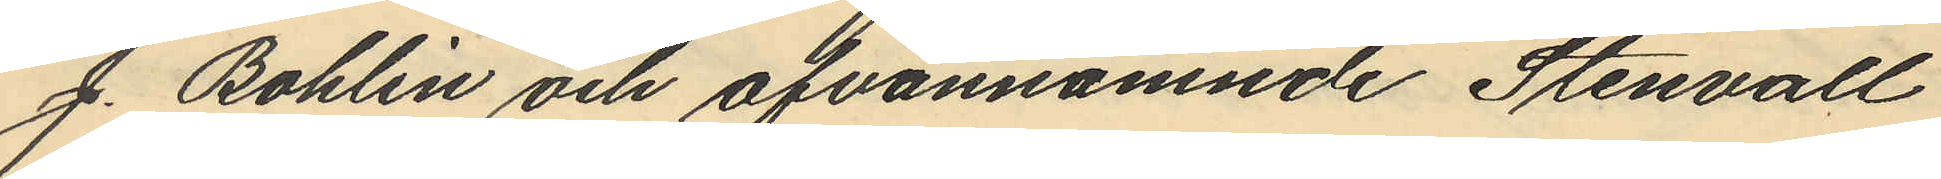J. Bohlin och ofvannämnde Stenvall
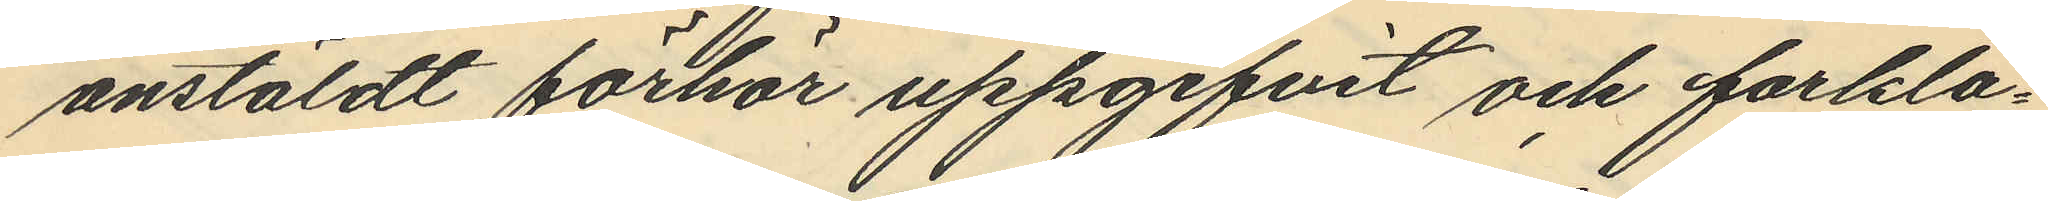anstäldt förhör uppgifvit och forkla¬
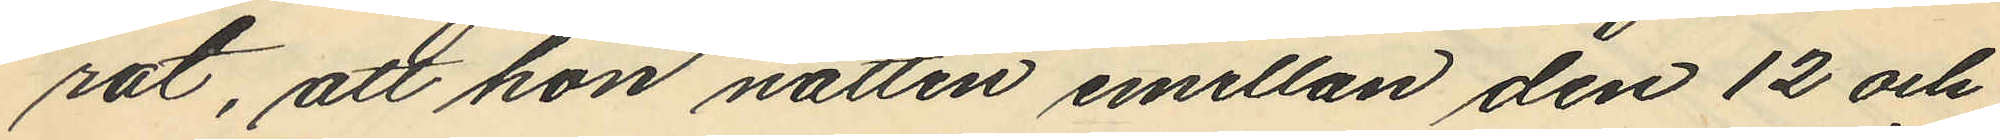rat, att hon natten emellan den 12 och
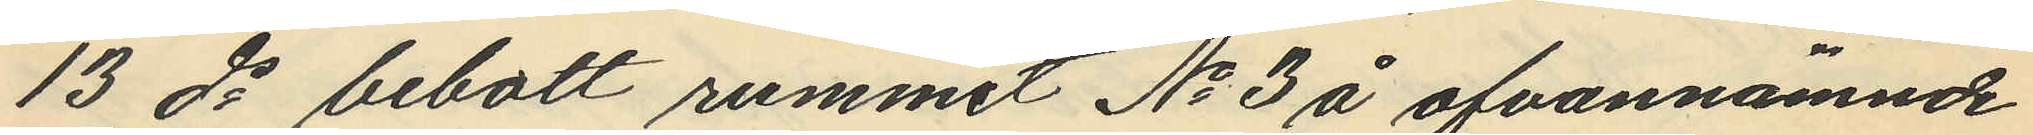13 ds bebott rummet No 3 å ofvannämnde
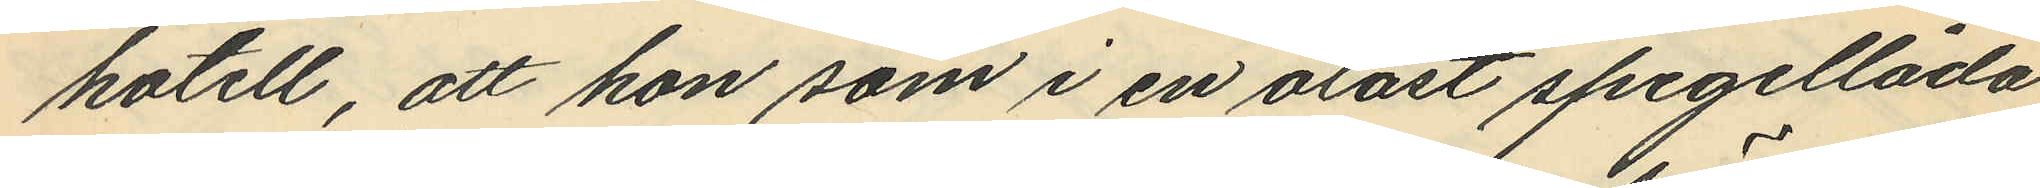hotell, att hon som i en olåst spegellåda
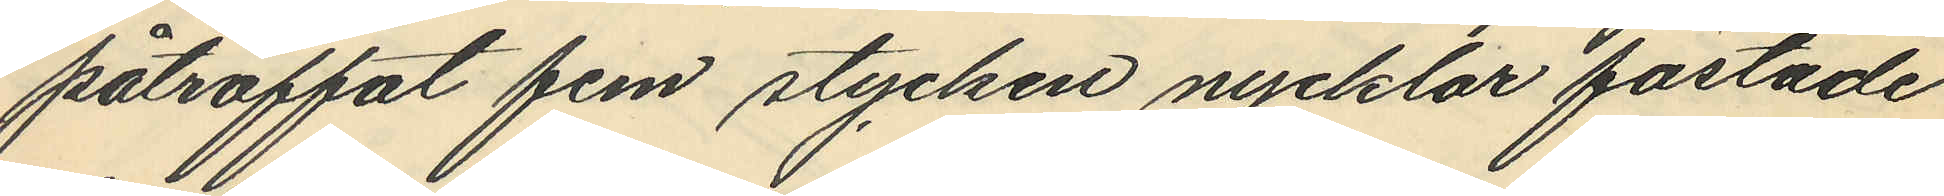påträffat fem stycken nycklar fästade
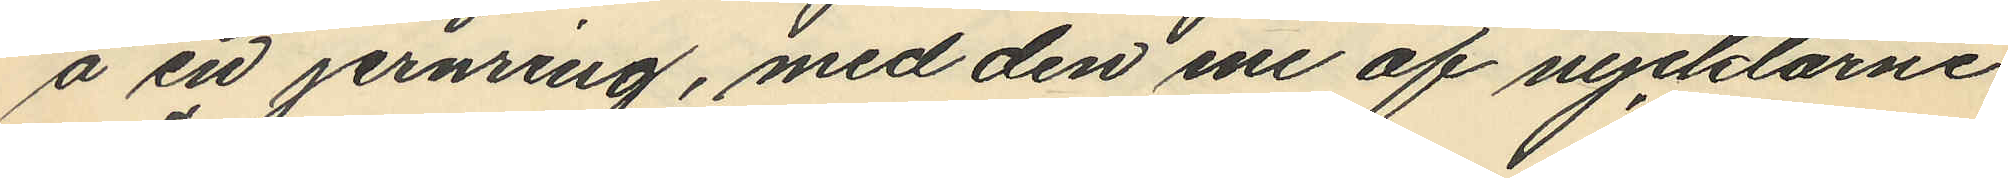å en jernring, med den ene af nycklarne
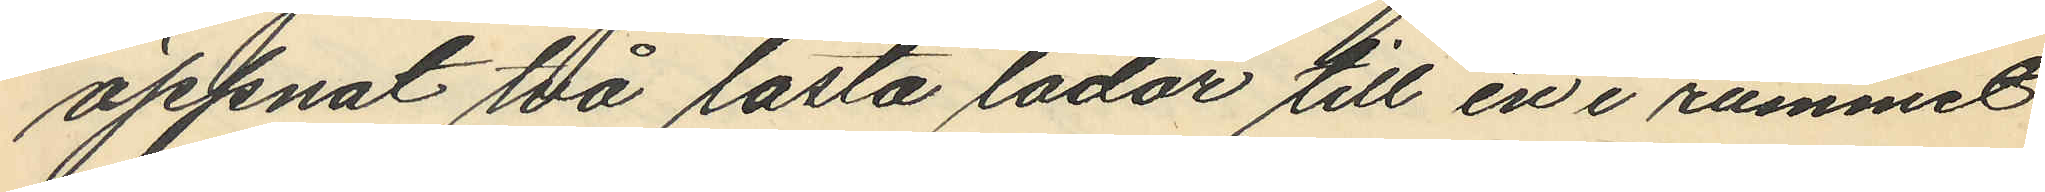öppnat två låsta lådor till en i rummet
